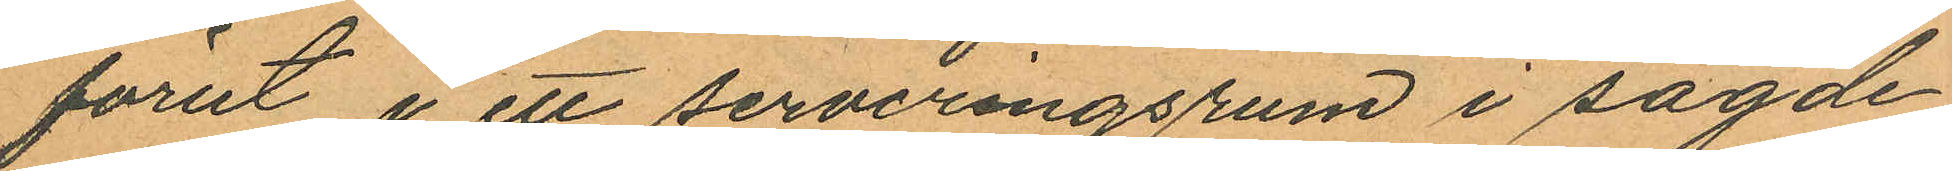förut i ett serveringsrum i sagde
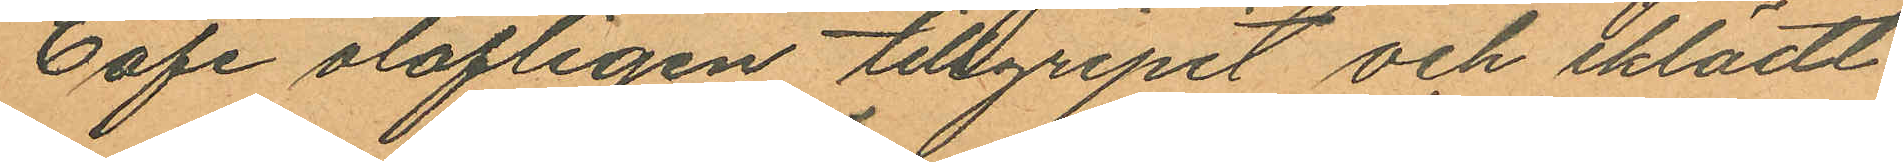Café olofligen tillgripit och iklädt
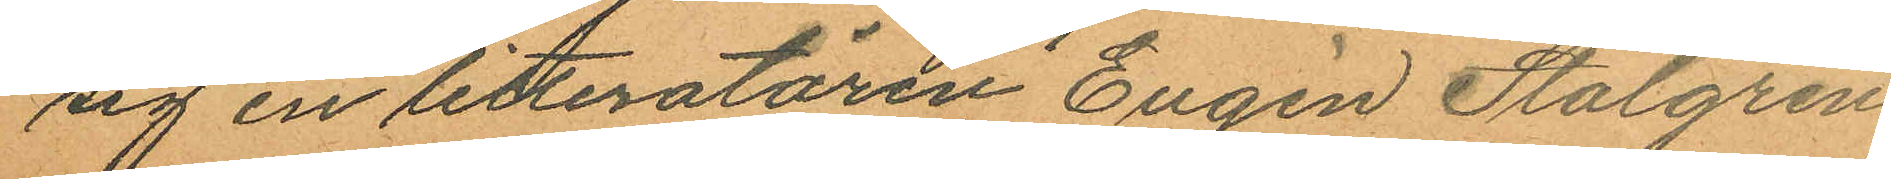sig en litteratören Eugén Stålgren
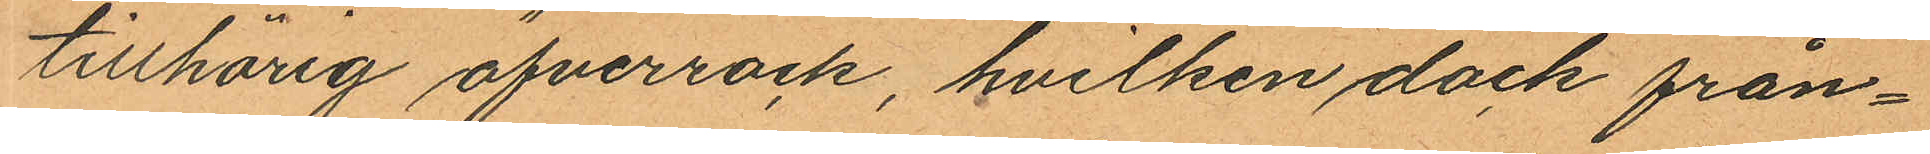tillhörig öfverrock, hvilken dock från¬
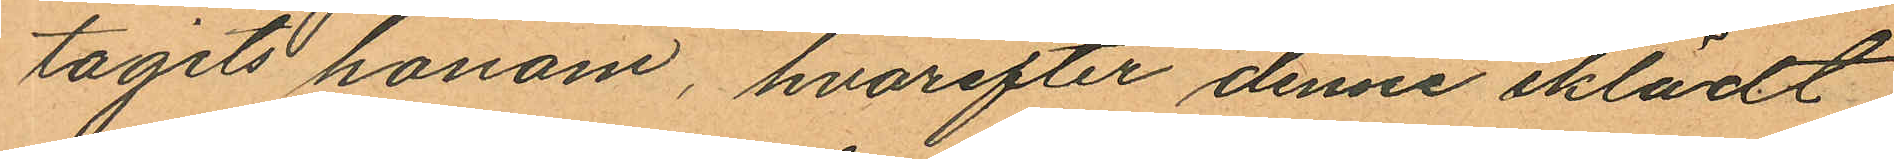tagits honom, hvarefter denne iklädt
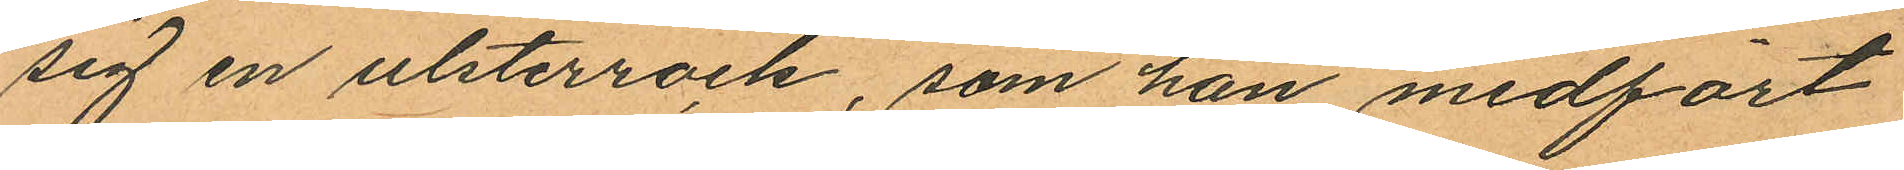sig en ulsterrock, som han medfört
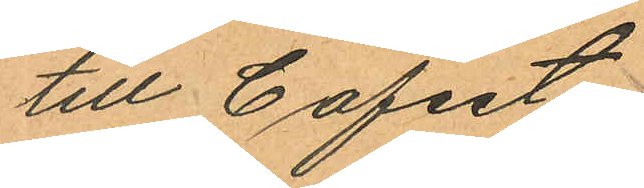till Cafeet.
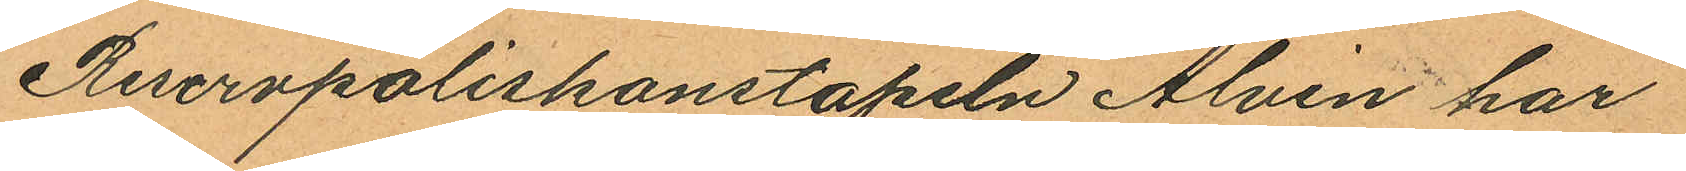Reservpoliskonstapeln Alvin har
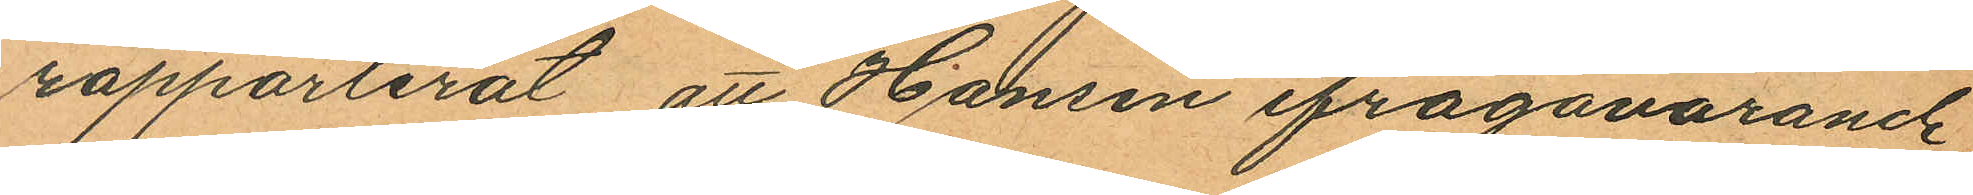rapporterat att Hansen ifrågavarande
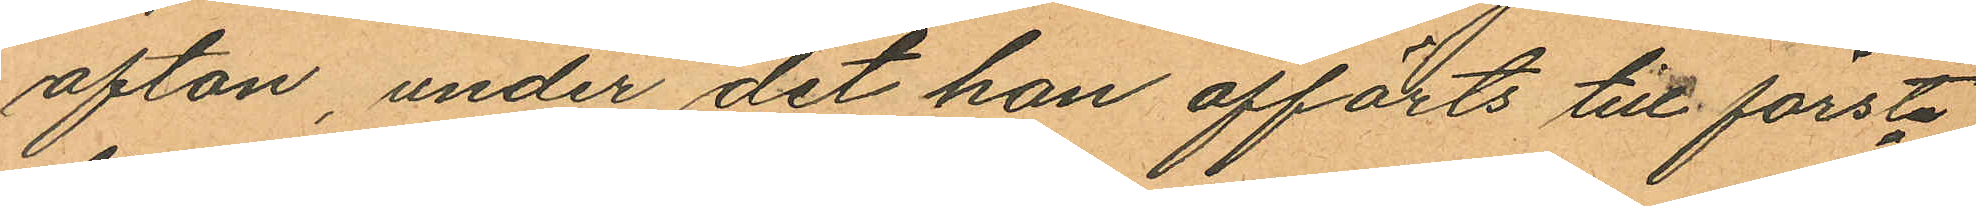afton, under det han afförts till första
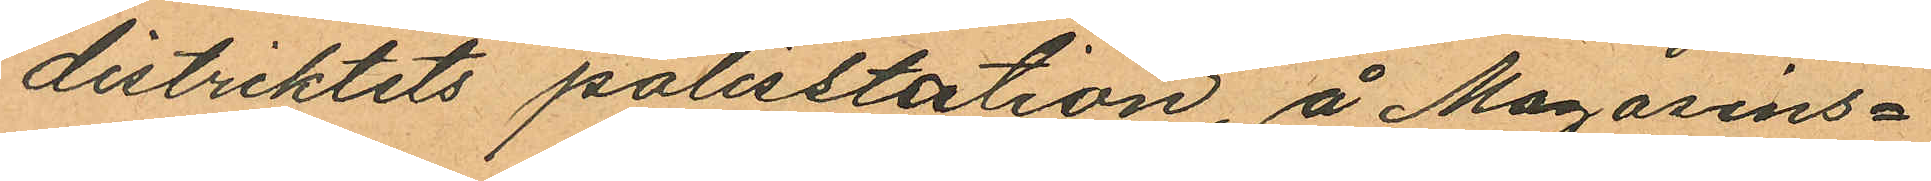distriktets polisstation å Magasins¬
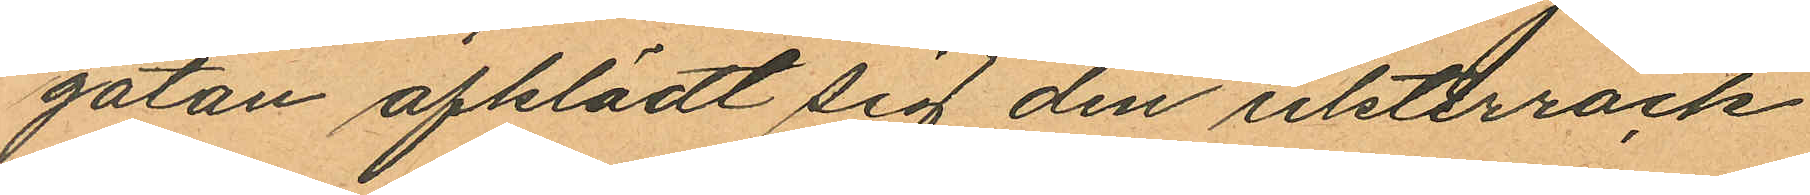gatan afklädt sig den ulsterrock
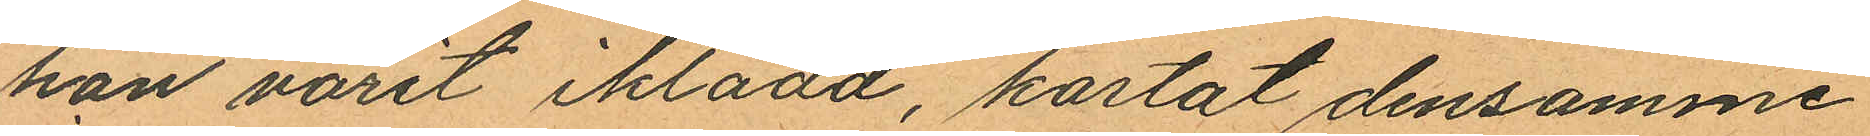han varit iklädd, kastat densamme
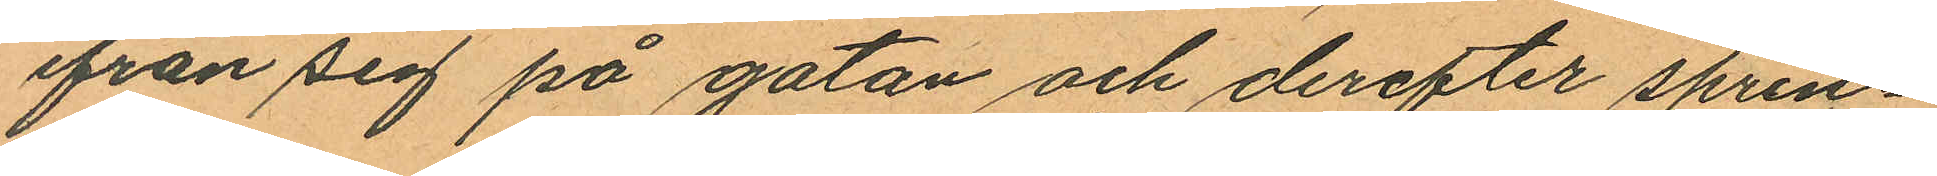ifrån sig på gatan och derefter sprin¬
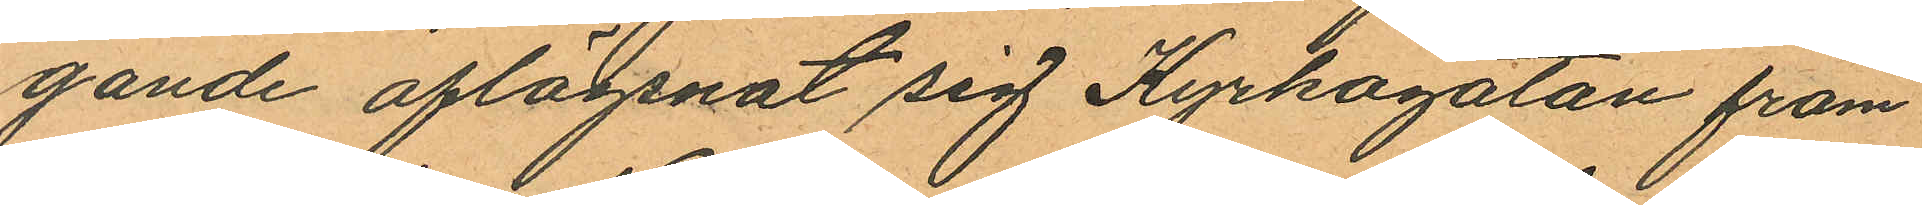gande aflägsnat sig Kyrkogatan fram
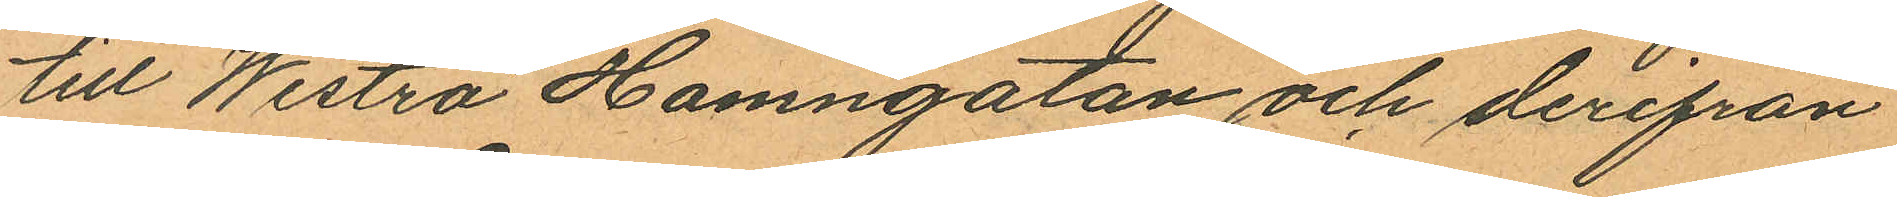till Westra Hamngatan och derifrån
